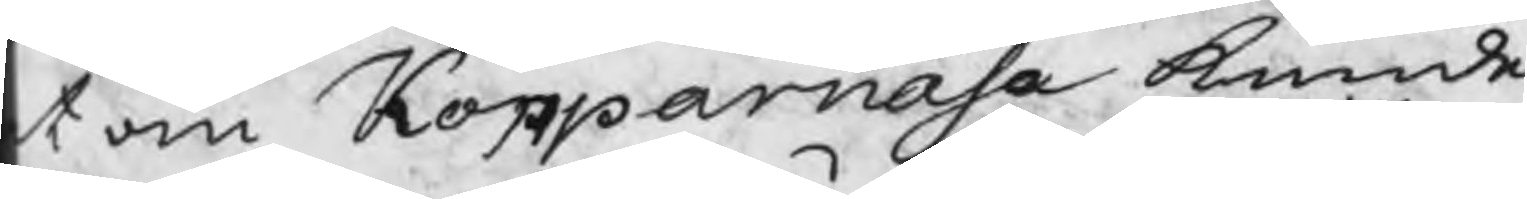t om Kopparnäsa kunde
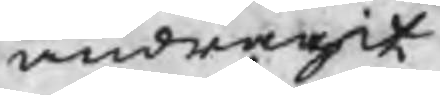andragit
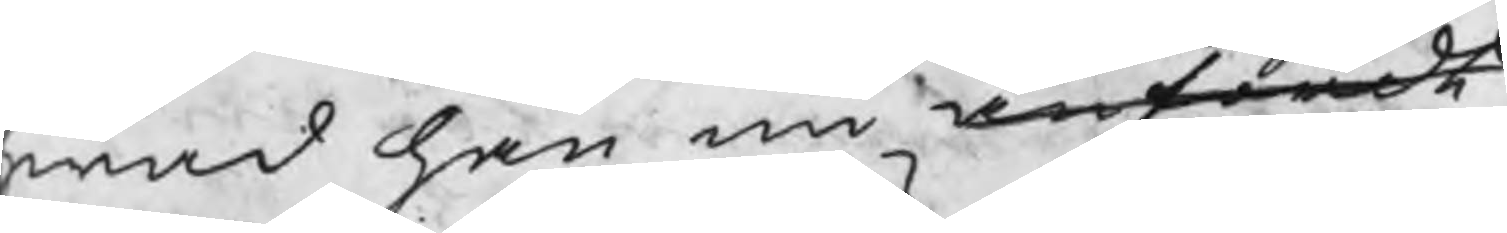hwad han nu anfördt
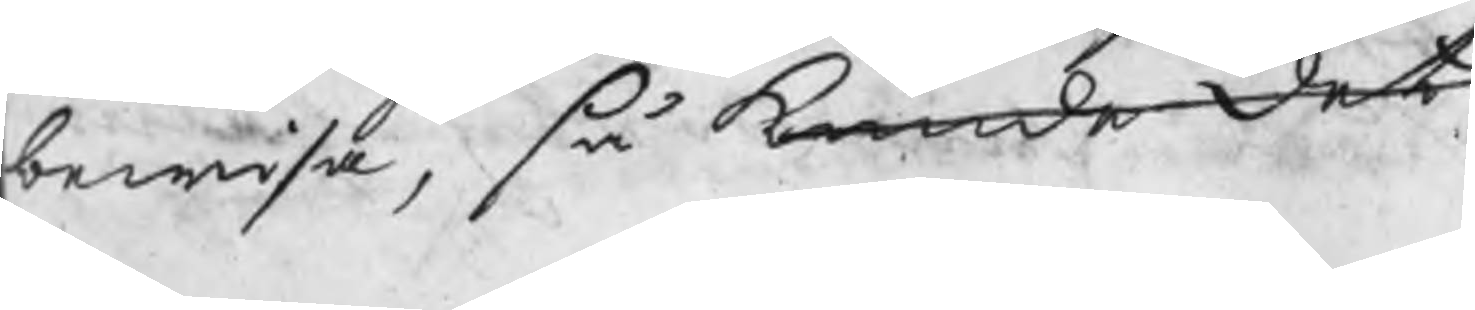bewisa, så kunde det
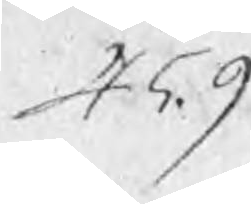459
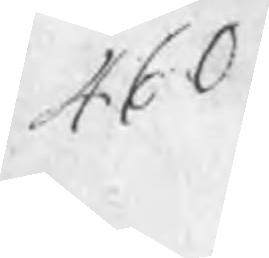460
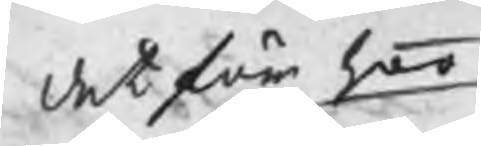det för hoo
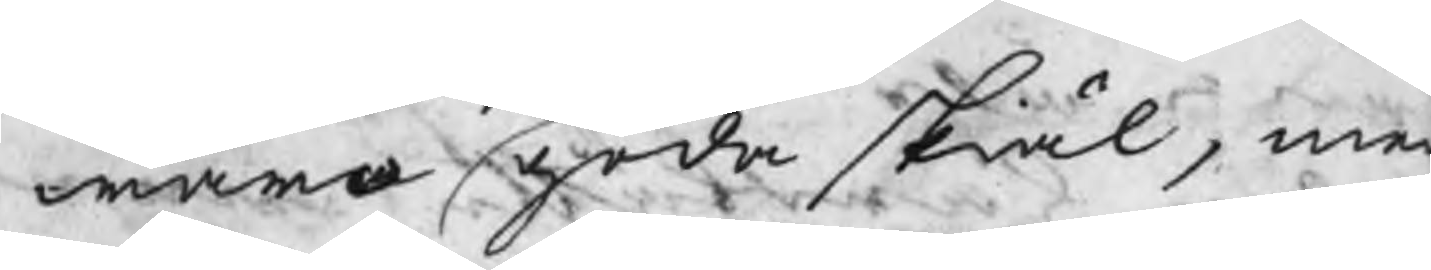wara goda skiäl, me
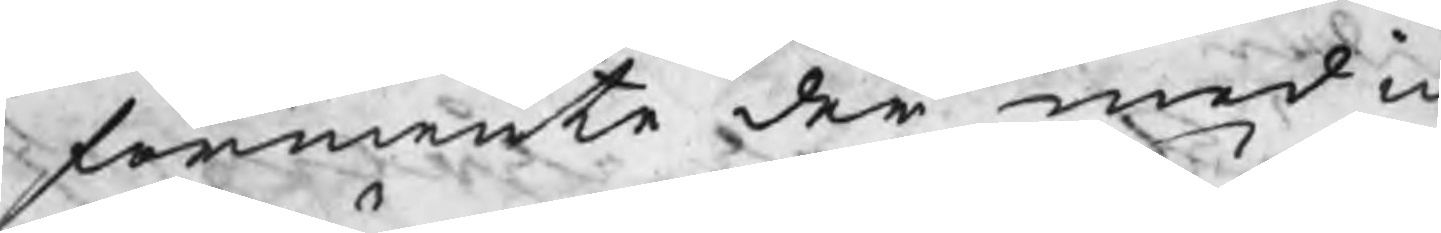förmente der med ic
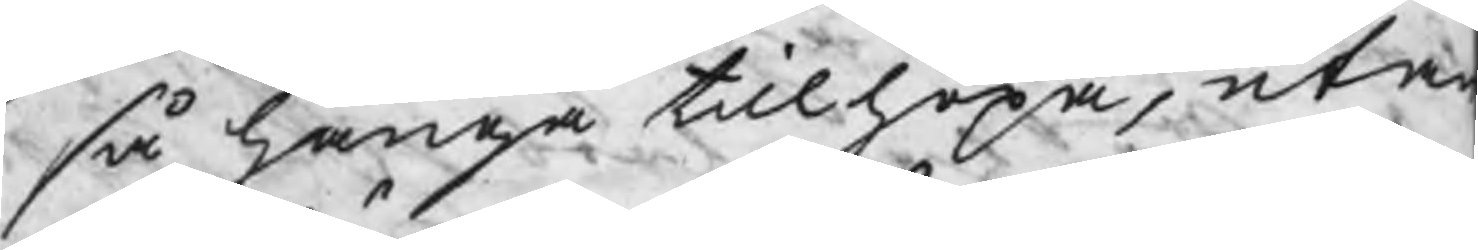så hänga tillhopa, uta
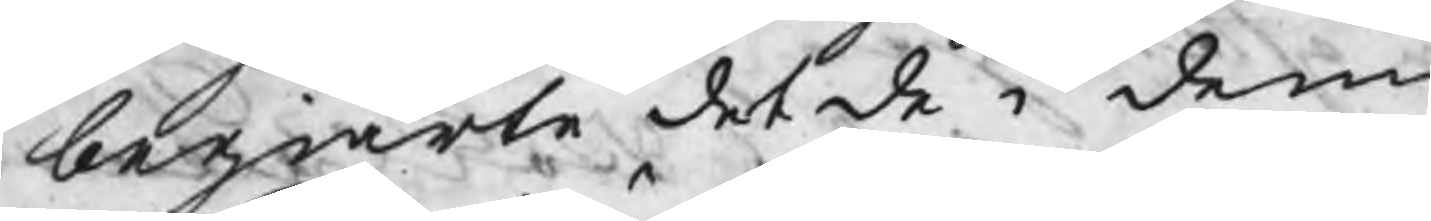begiärte det de i denn
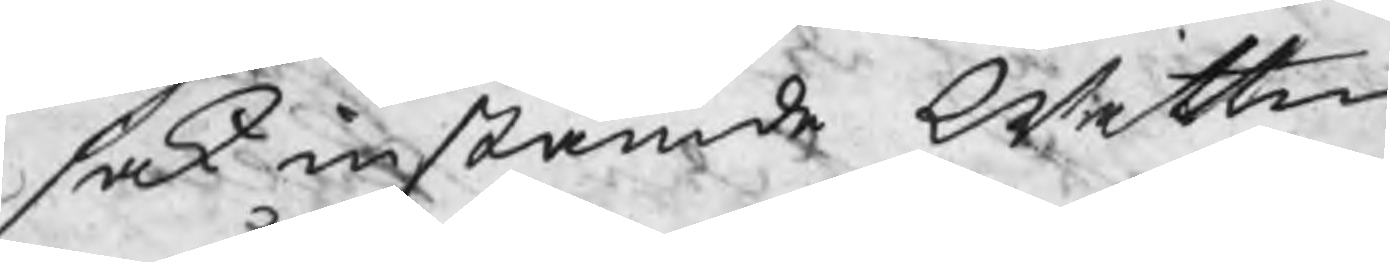sak instämde wittn
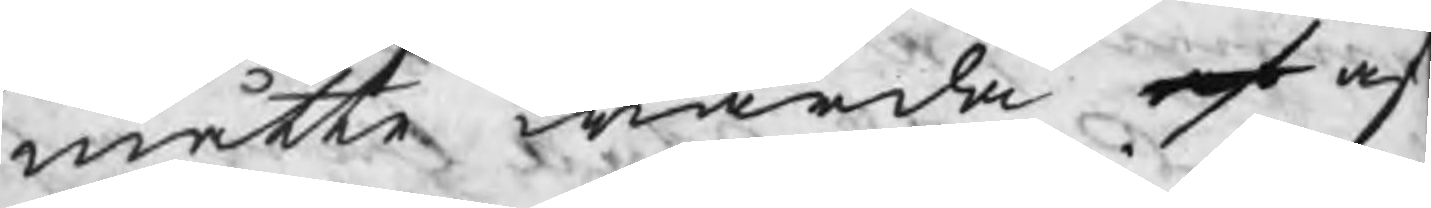måtte warda af af
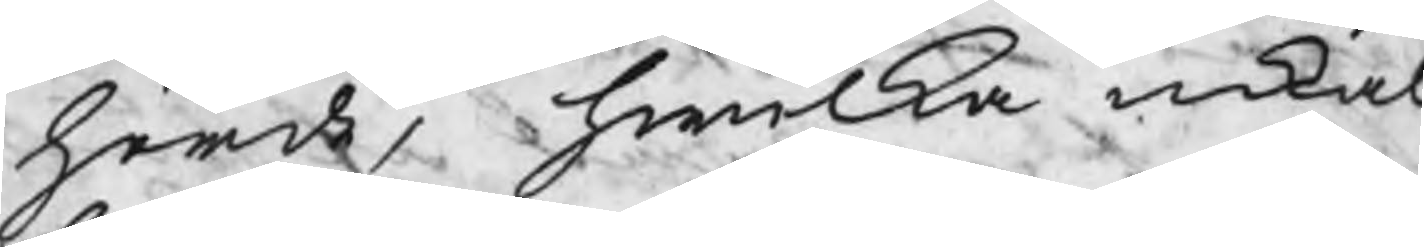hörde, hwilka inkal
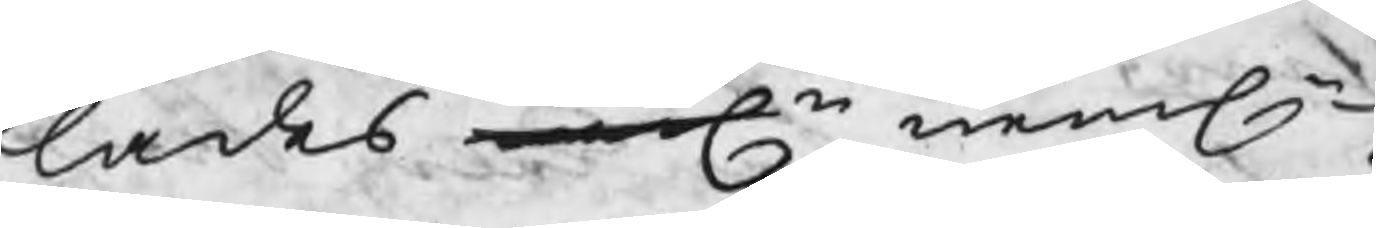lades nemln nemln
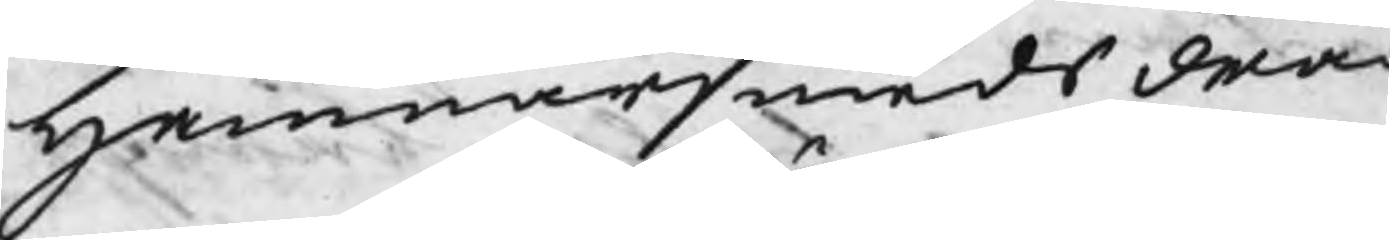Hammarsmeds drä
